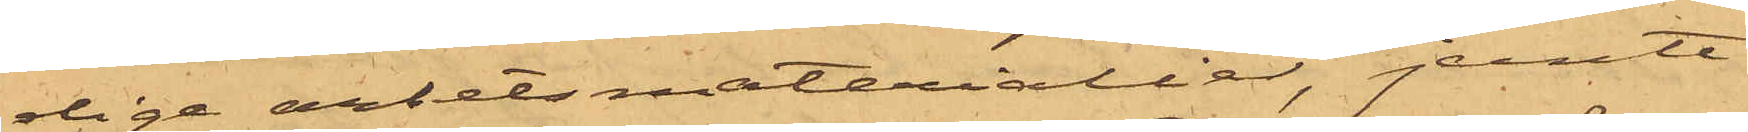diga arbetsmaterialier, jemte
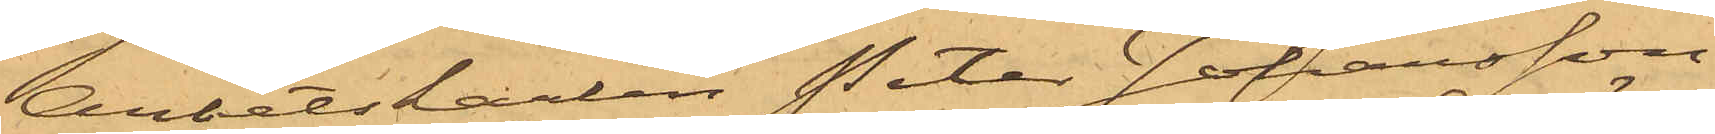Arbetskarlen Peter Johansson
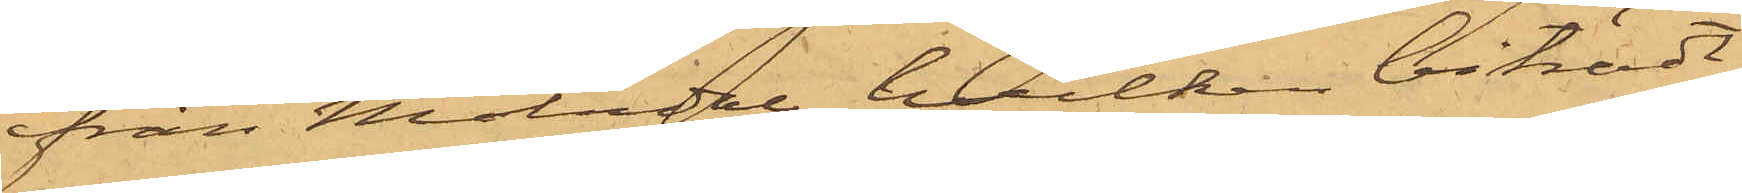från Mölndal, hvilken biträdt
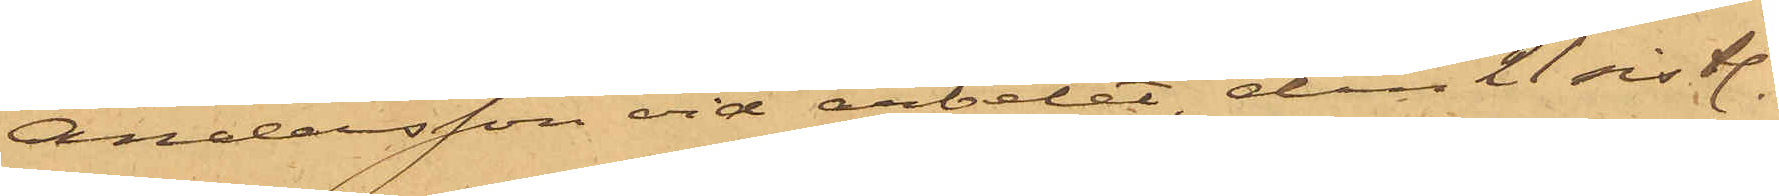Andersson vid arbetet, den 21 sistl.
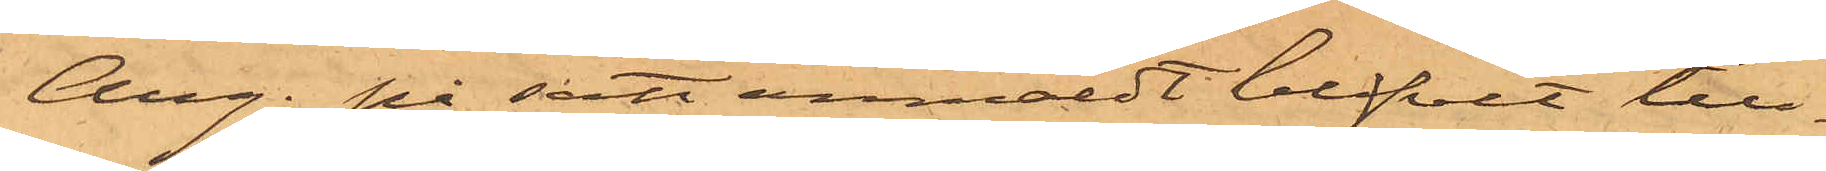Aug. på sätt anmäldt blifvit till¬
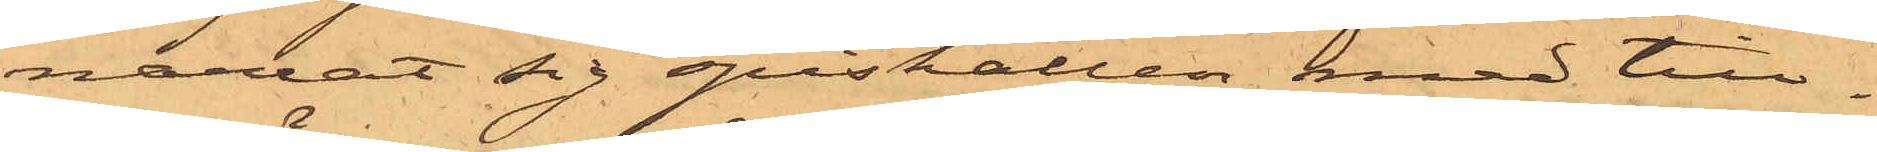narrat sig spishallen med till¬
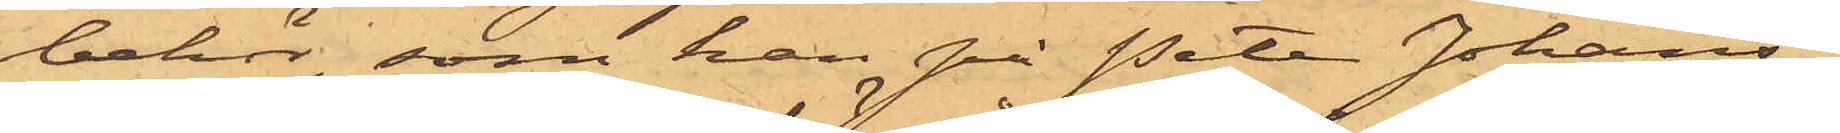behör, som han på Peter Johans¬
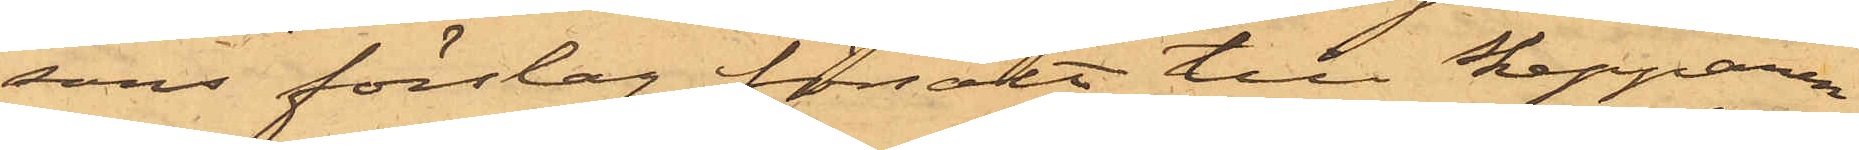sons förslag försålt till Skepparen
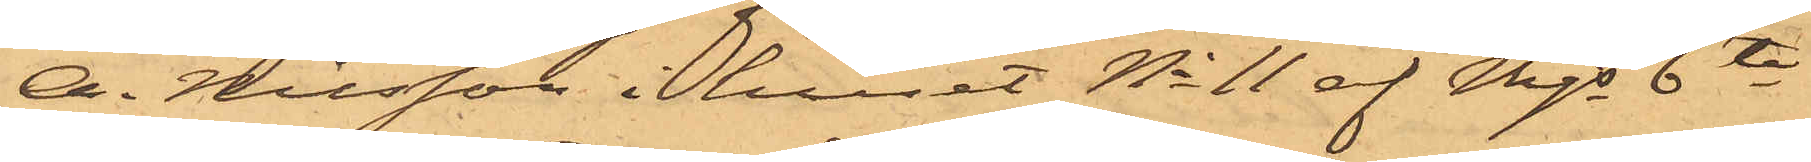A. Nilsson i huset No 11 af Mjs 6te
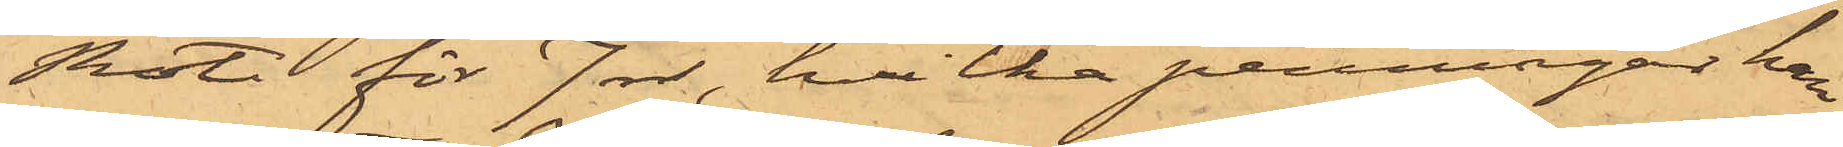Rote för 7 rdr, hvilka penningar han
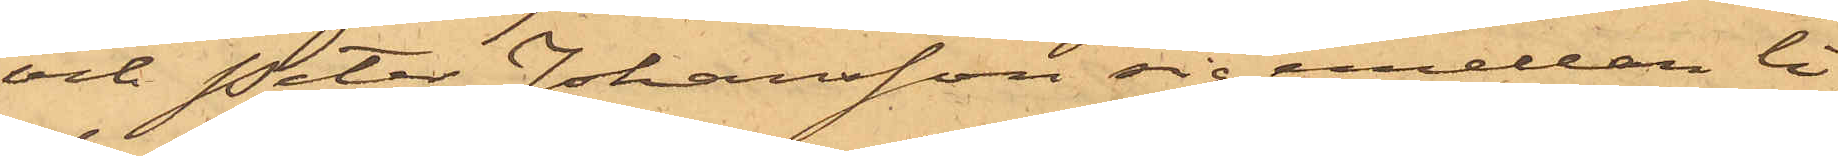och Peter Johansson sig emellan li¬
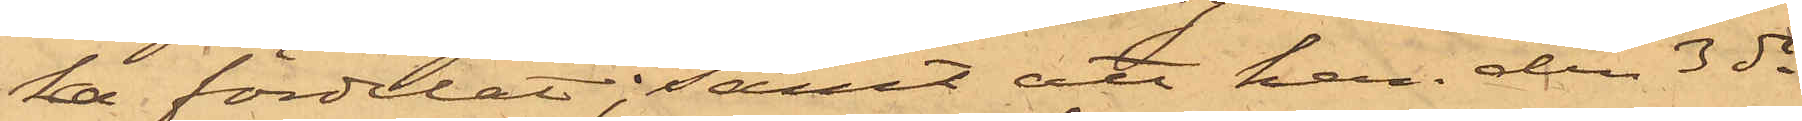ka fördelat; samt att han den 3 ds
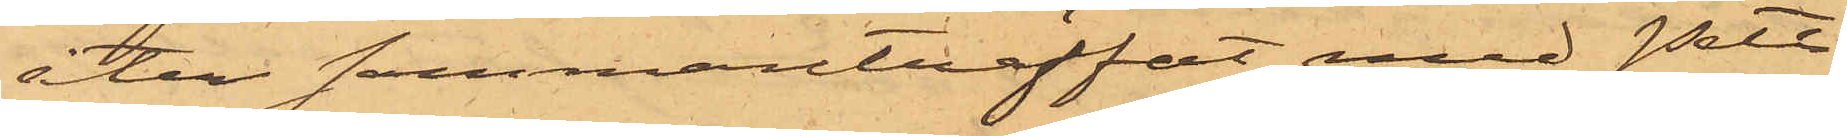åter sammanträffat med Pett
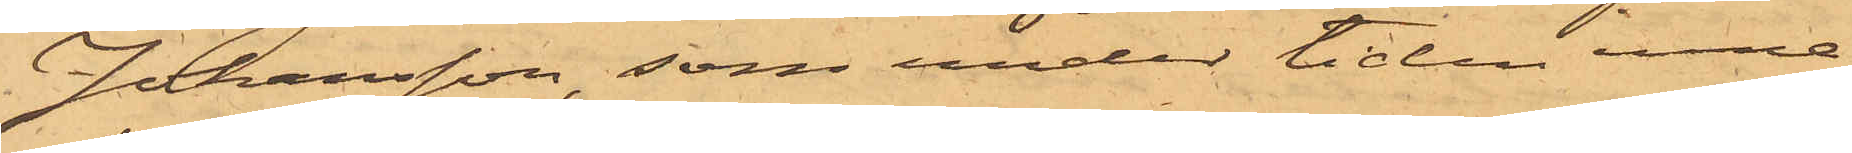Johansson, som under tiden inne¬
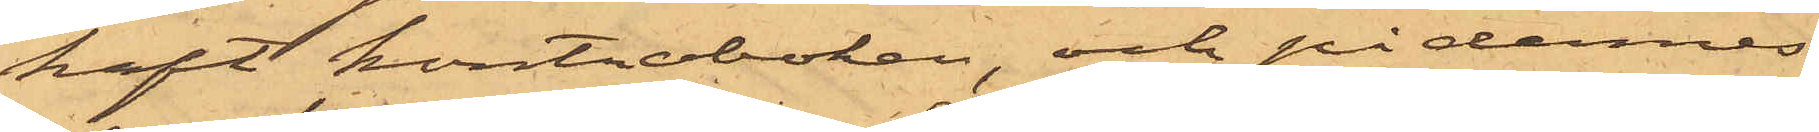haft kontraboken, och på dennes
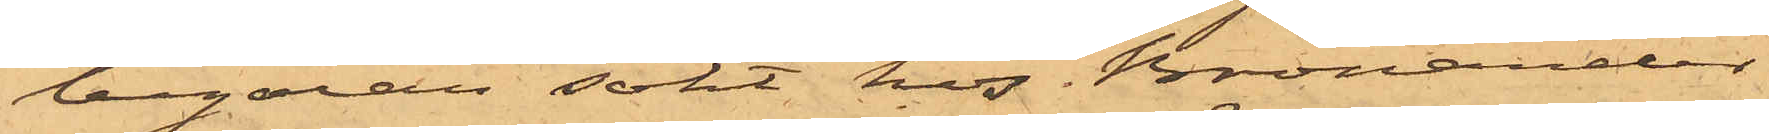begäran sökt hos Bronander
